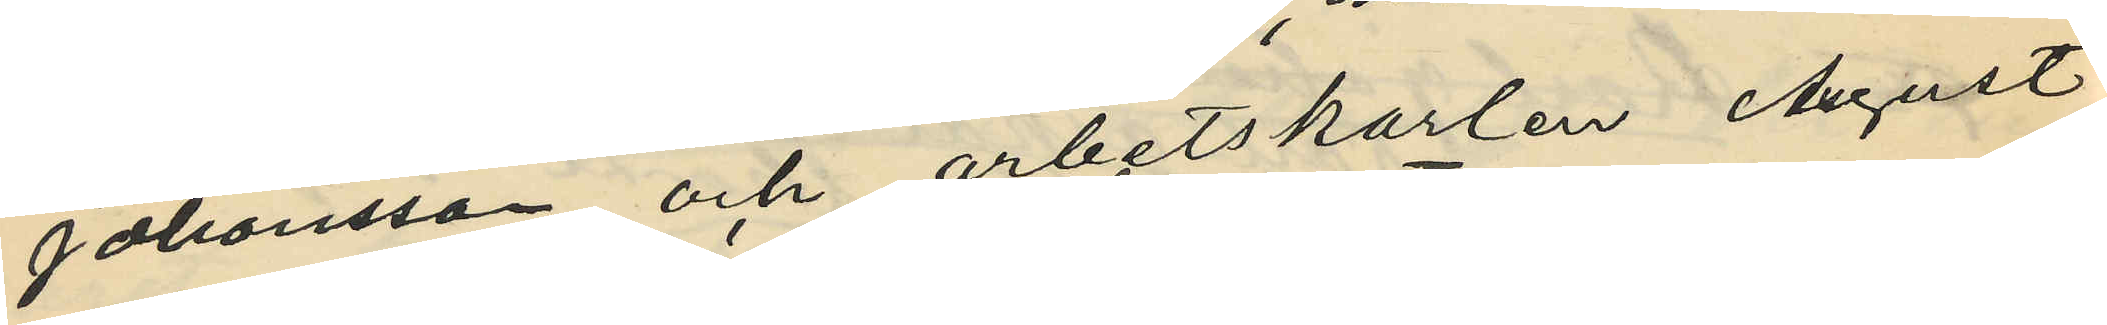Johansson och arbetskarlen August
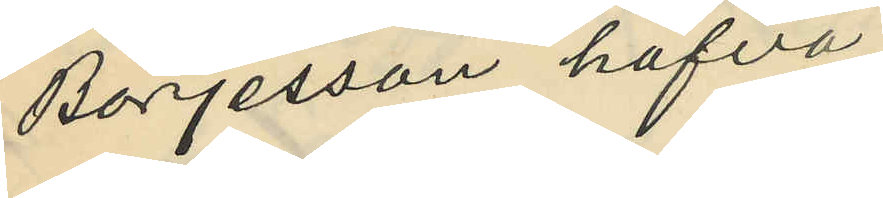Börjesson hafva
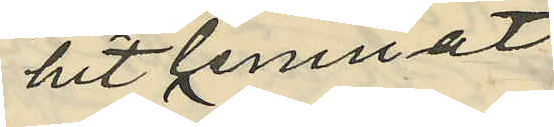hitlemnat
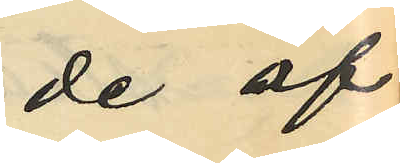de af
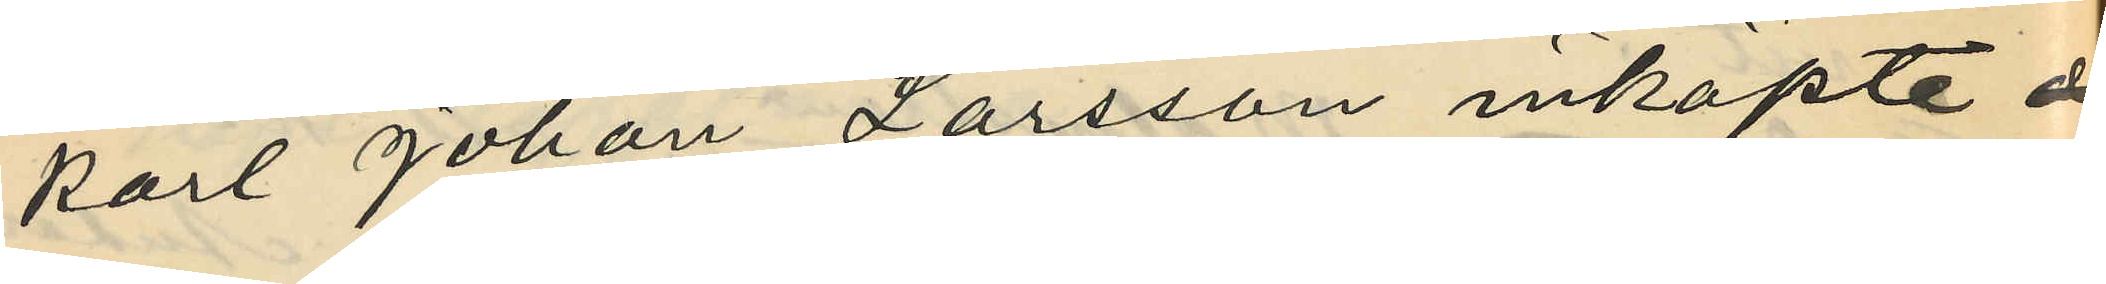Karl Johan Larsson inköpte
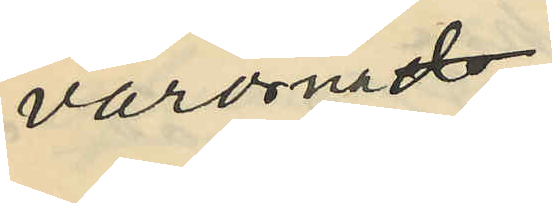varorna
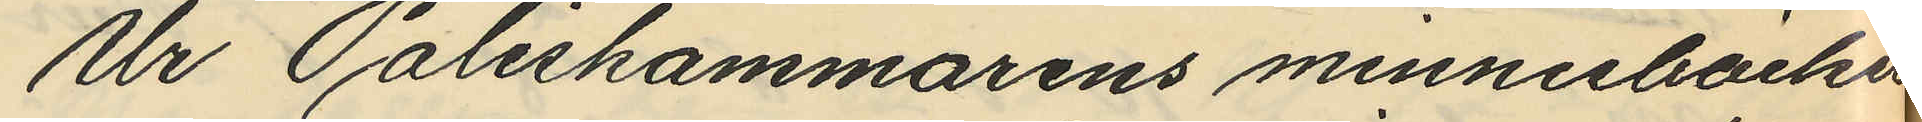Ur Poliskammarens minnesböcker
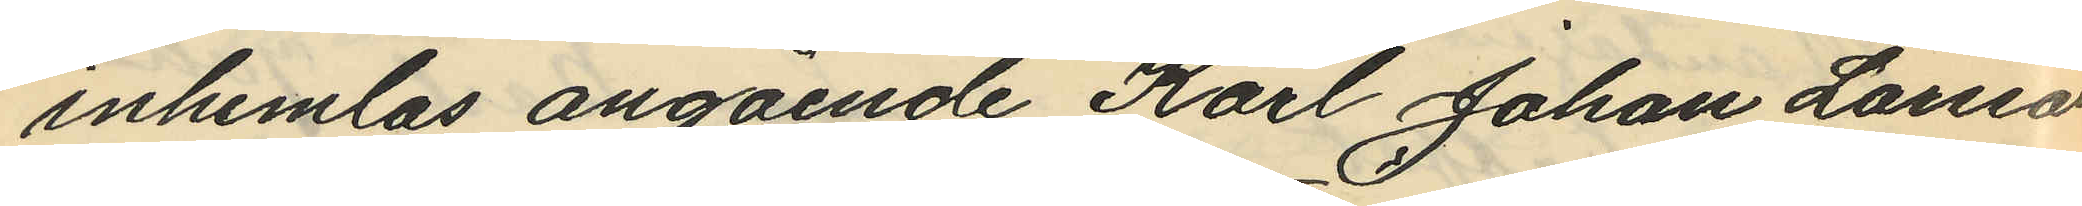inhemtas angående Karl Johan Larsson,
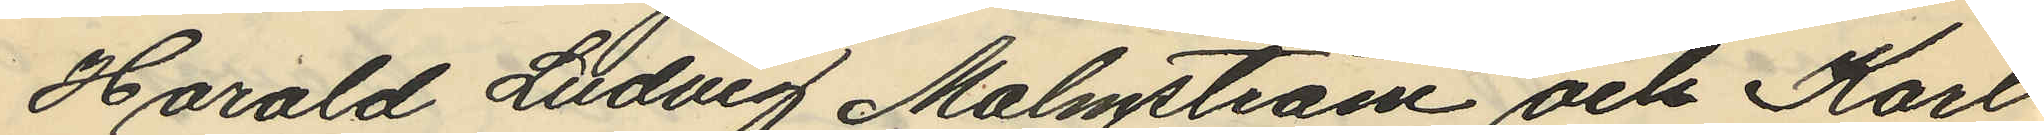Harald Ludvig Malmström och Karl
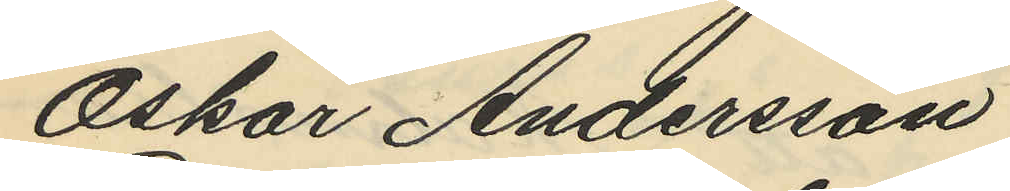Oskar Andersson
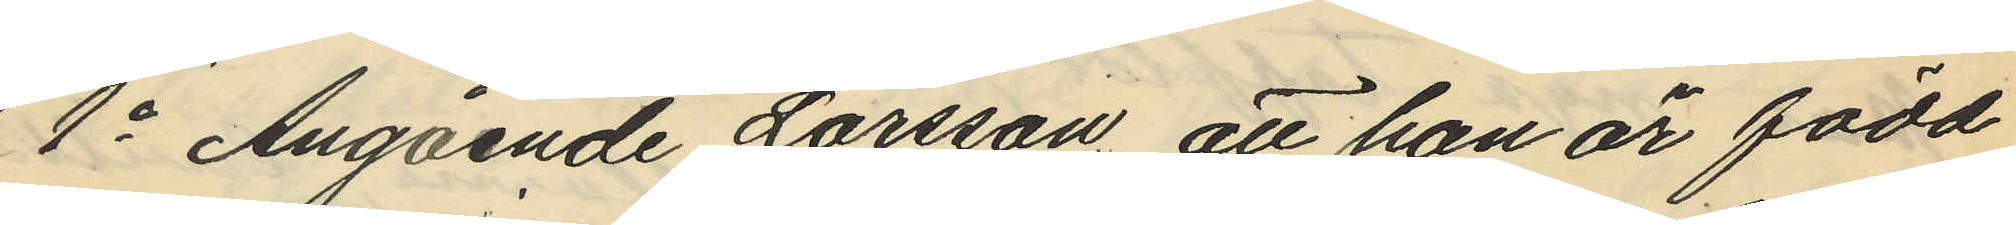1o Angående Larsson, att han är född
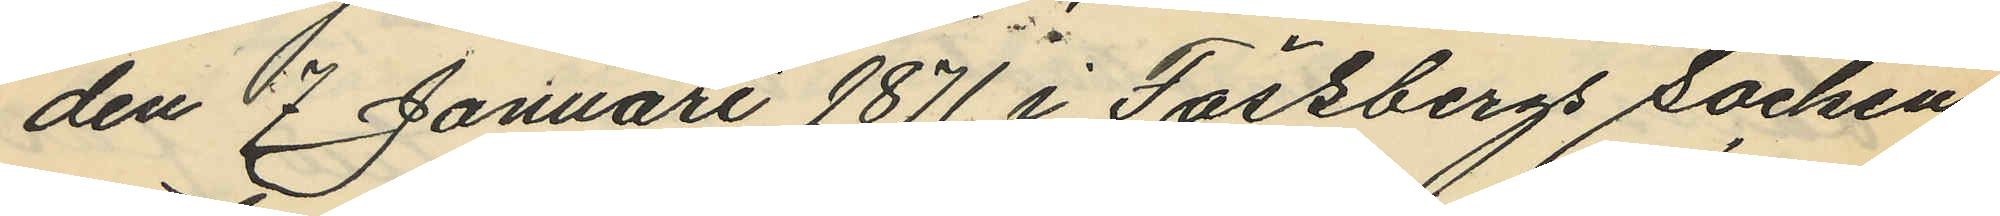den 7 Januari 1871 i Fässbergs socken,
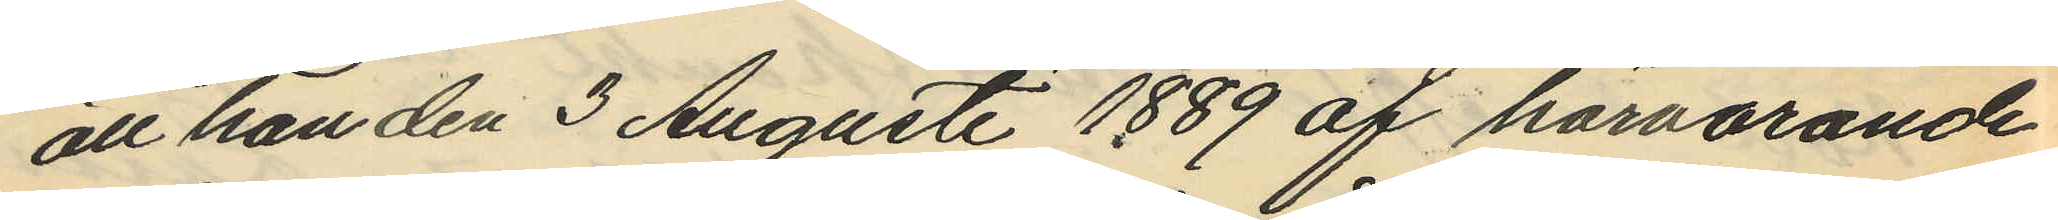att han den 3 Augusti 1889 af härvarande
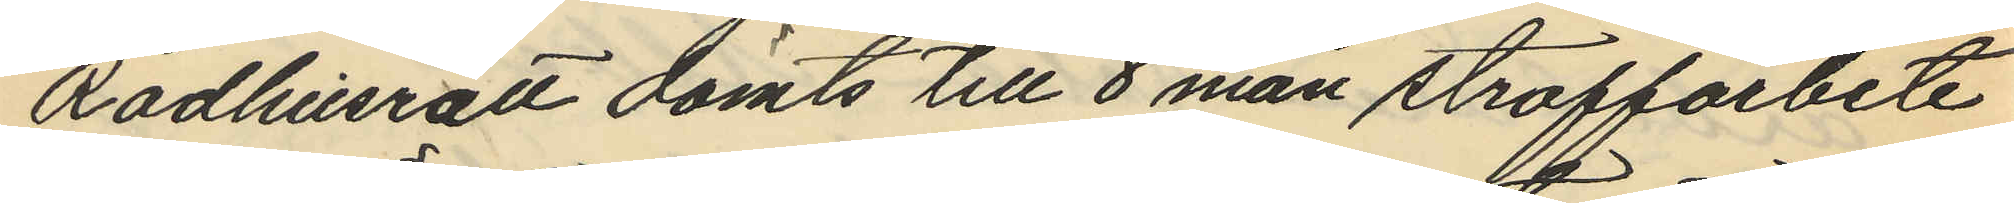Rådhusrätt dömts till 8 mån straffarbete
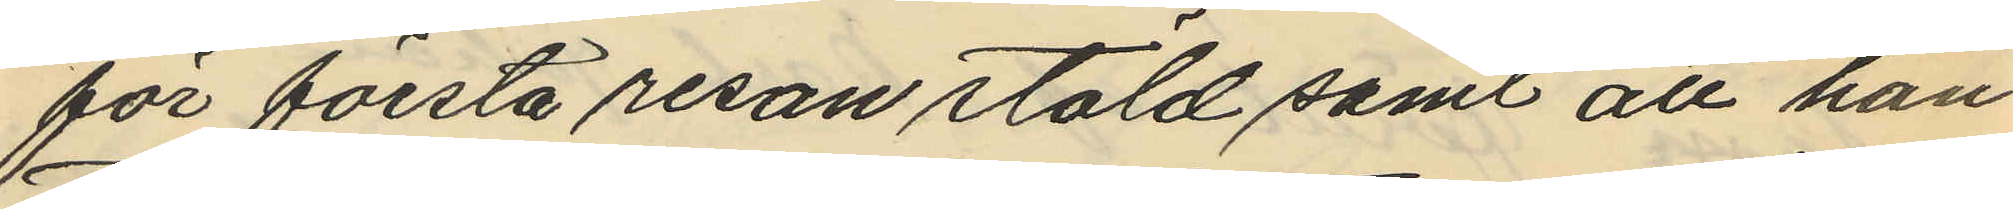för första resan stöld samt att han
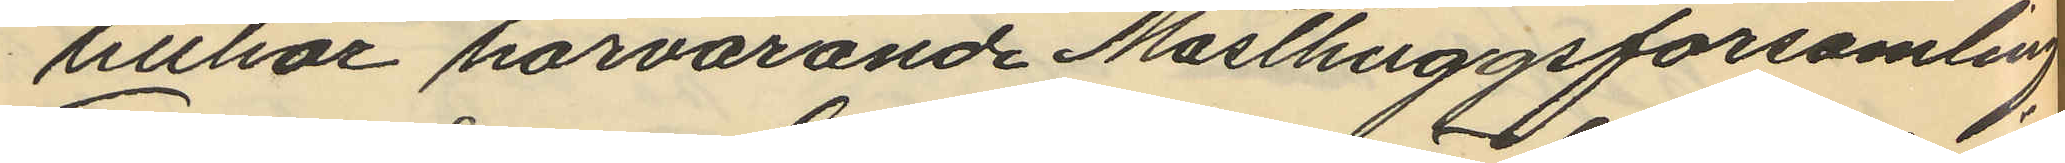tillhör härvarande Masthuggsförsamling
